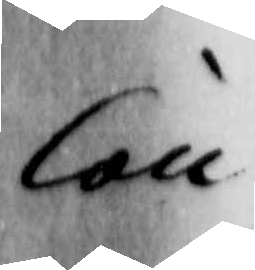Con
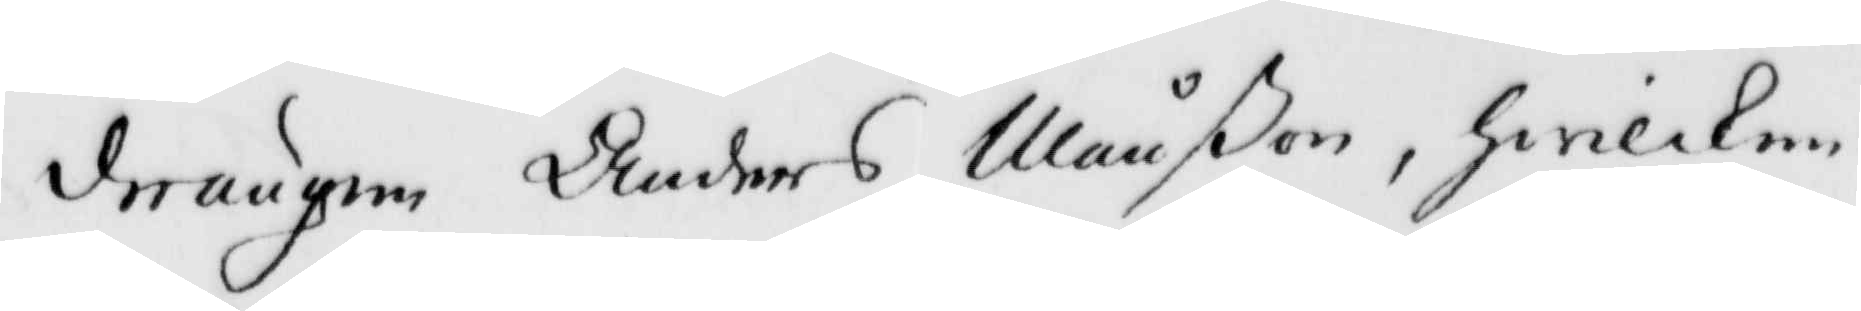drängen Anders Månßon, hwilken
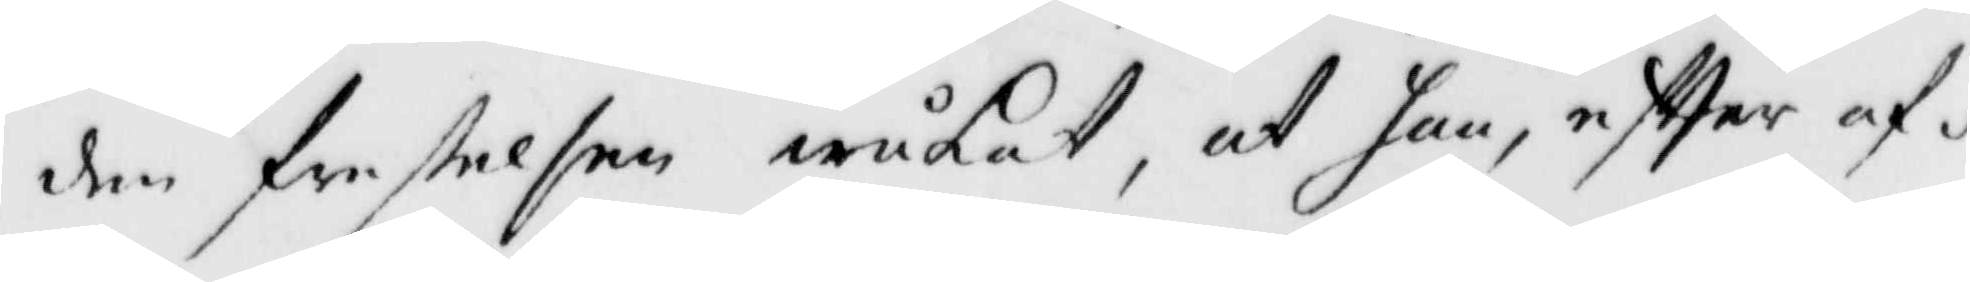den frestelsen iråkat, at han, eftter af¬
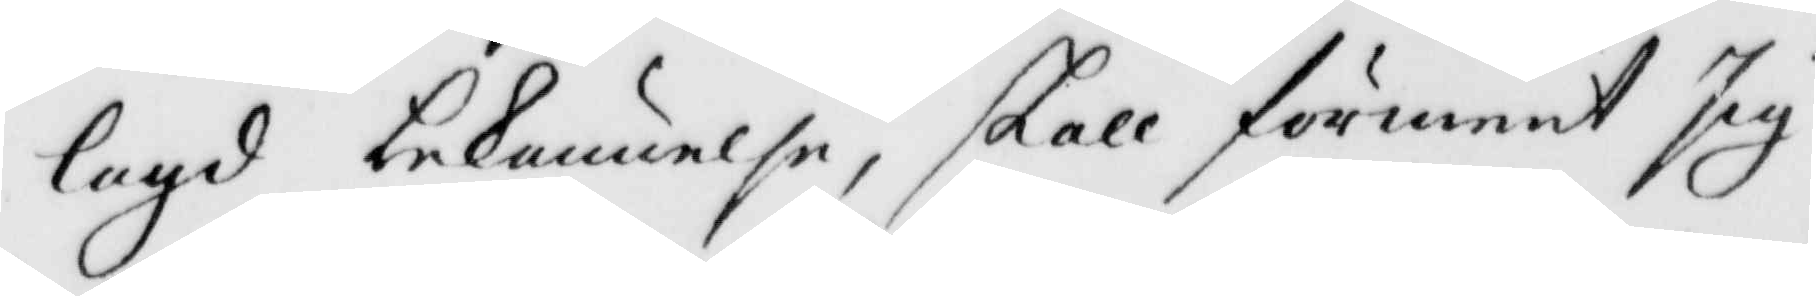lagd bekännelse, skall förment sig
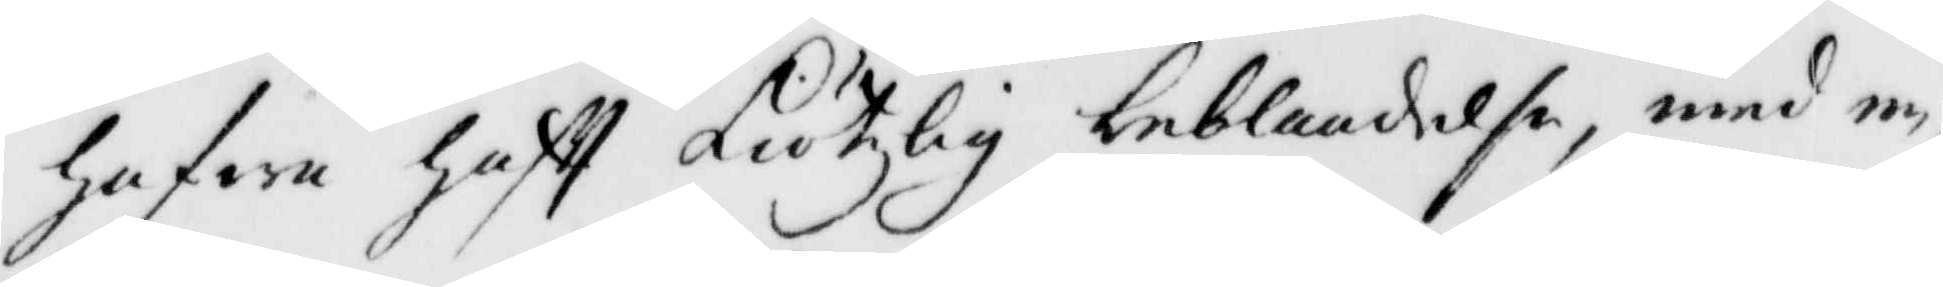hafwa haftt Kiötzlig beblandelse, med en
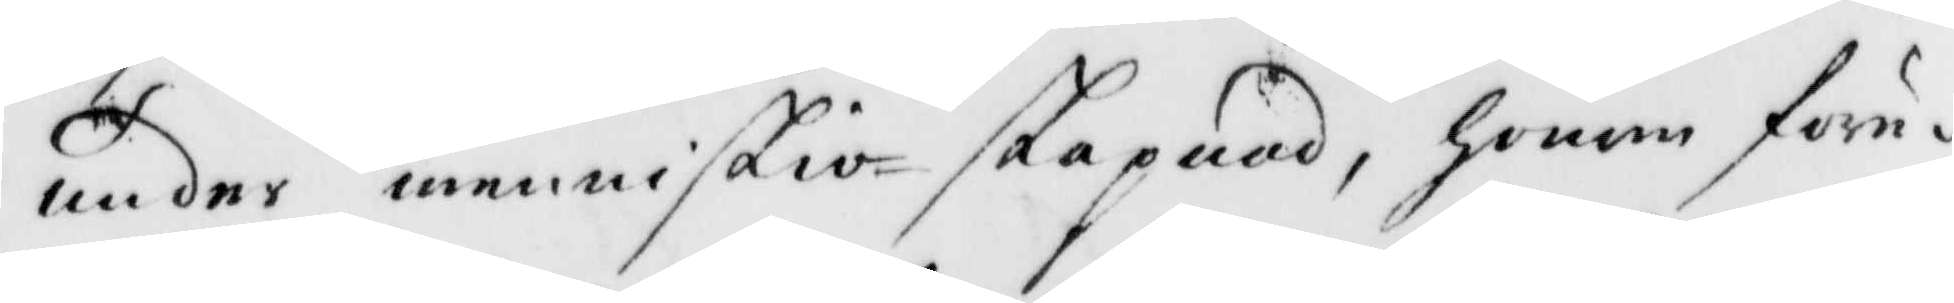under menniskio skapnad, honom före¬
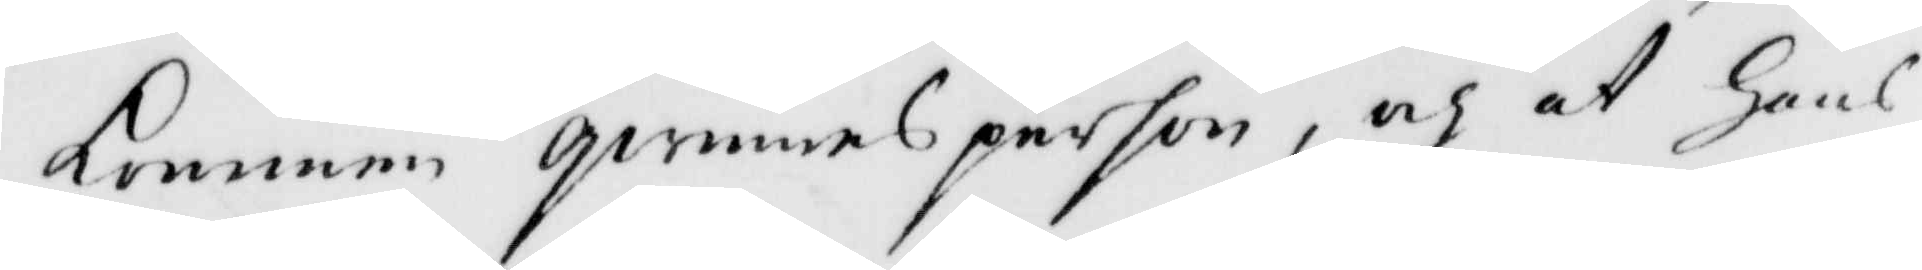kommen qwinnsperson, och at hans
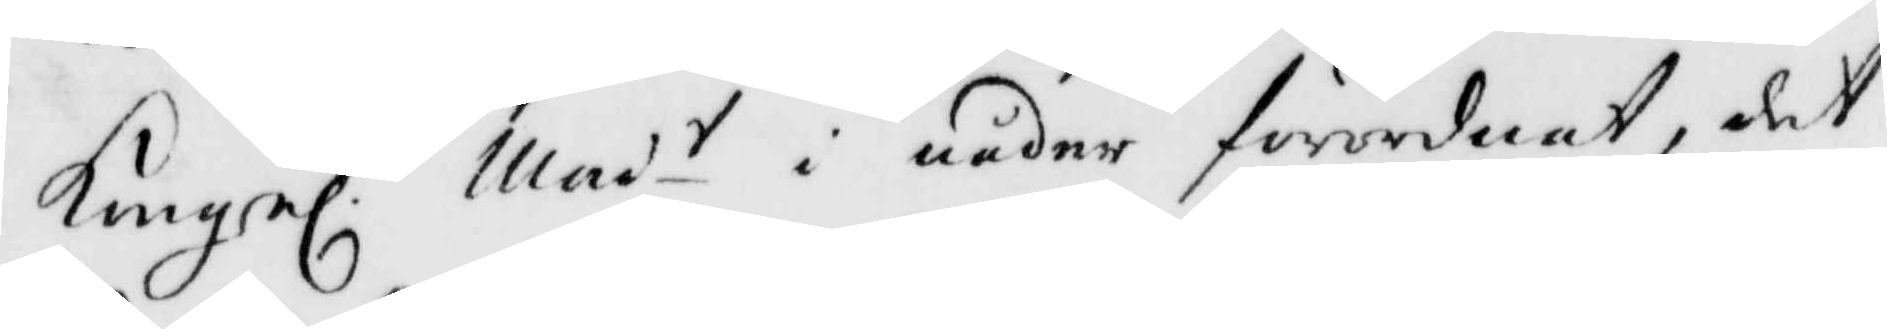Kungl. Mai.t i nåder förordnat, det
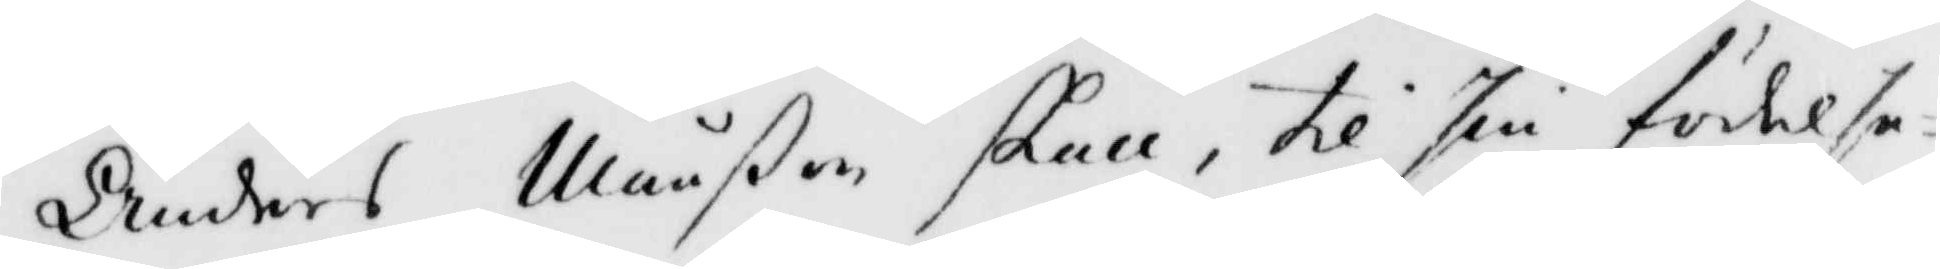Anders Månßon skall, til sin födelse¬
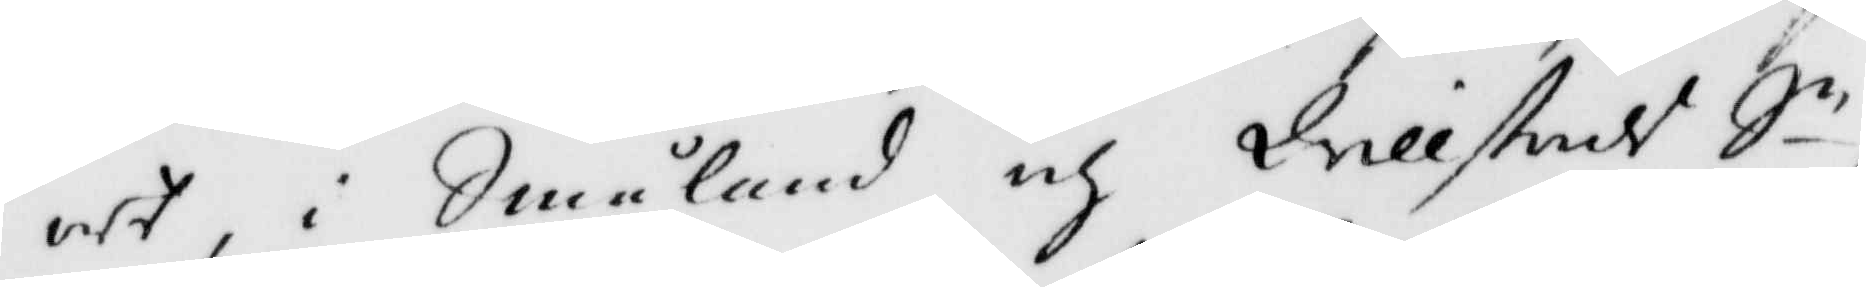oty i Småland och Qvillstedt Sn,
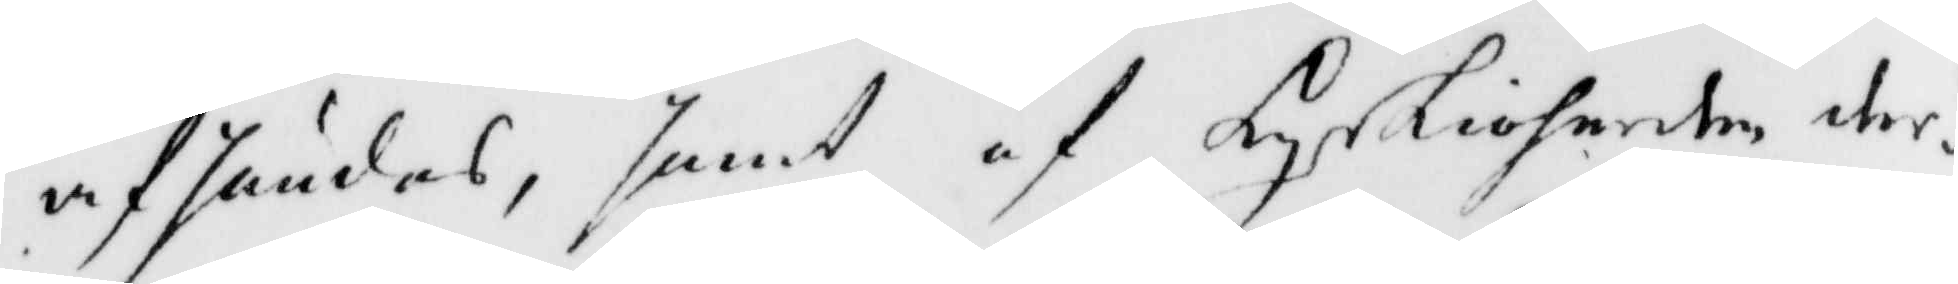afsändas, samt af Kyrkioherden der¬
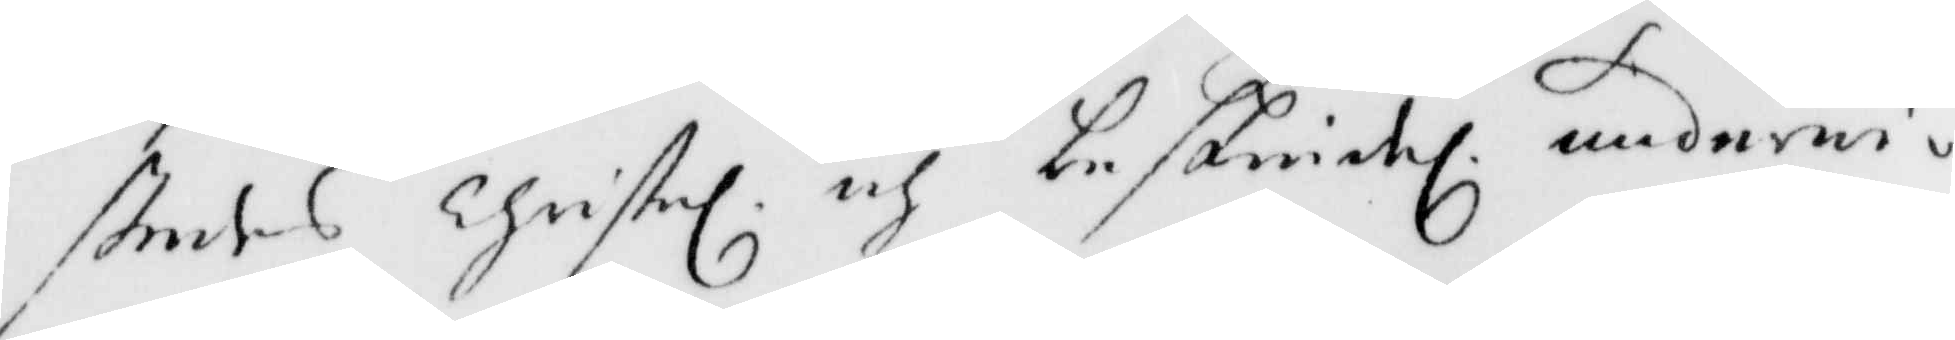stedes Christel. och beskiedl. underwis¬
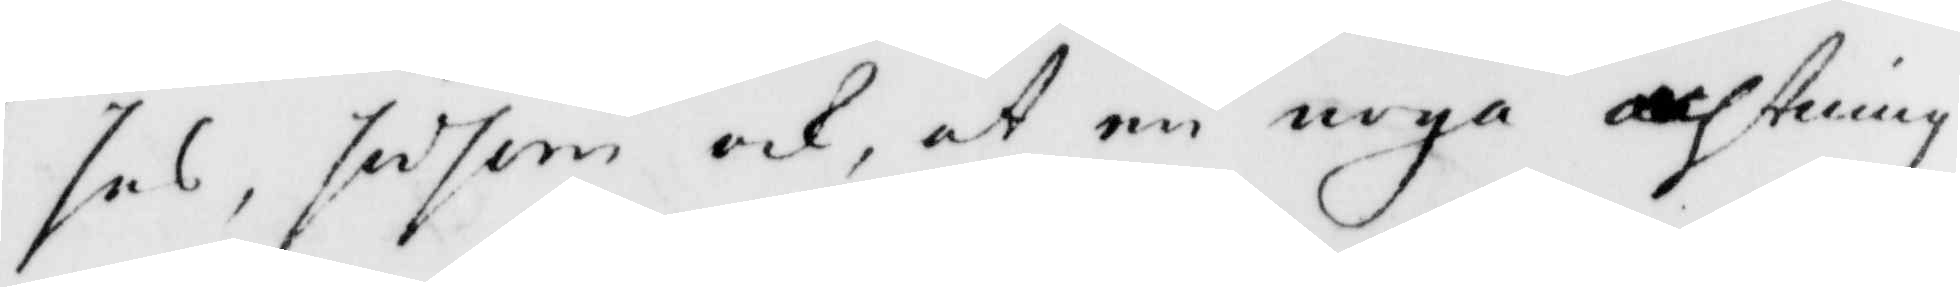sas, såsom ock, at en noga achtning
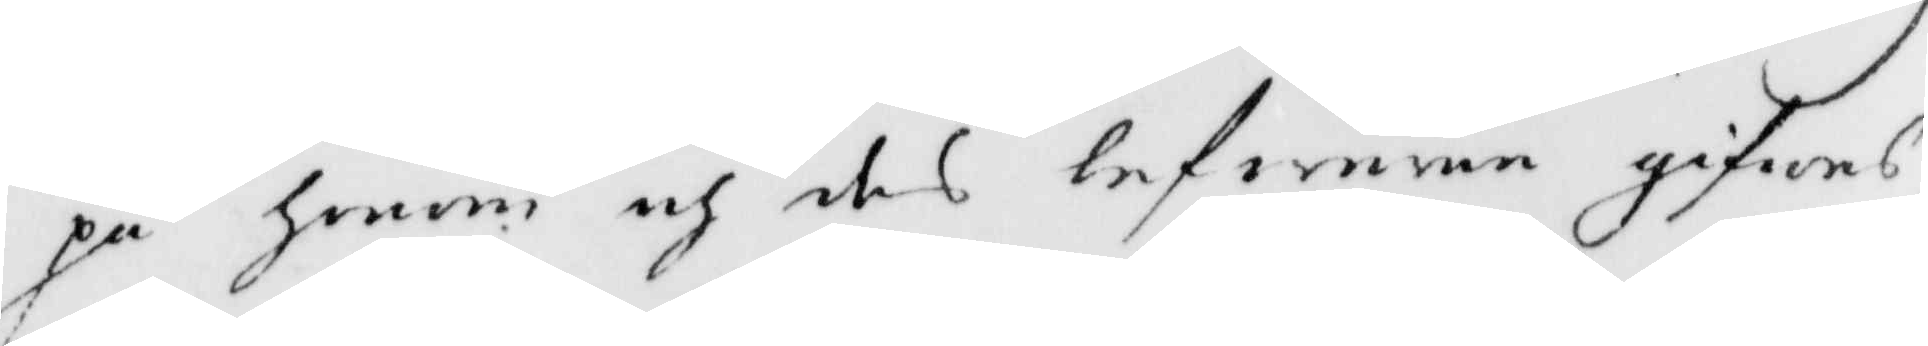på honom och des lefwerne gifwas,
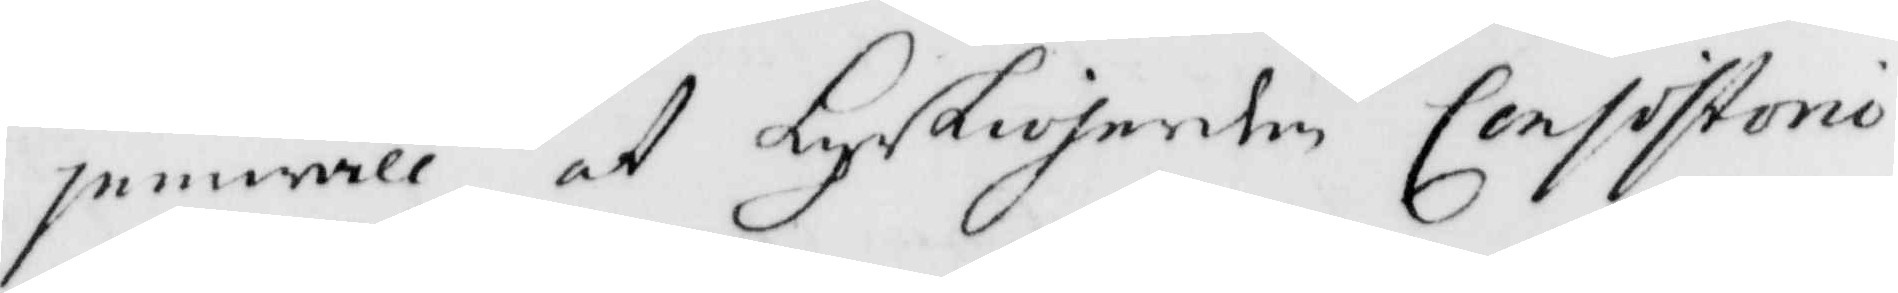jemwäll at Kyrkioherden Consistori
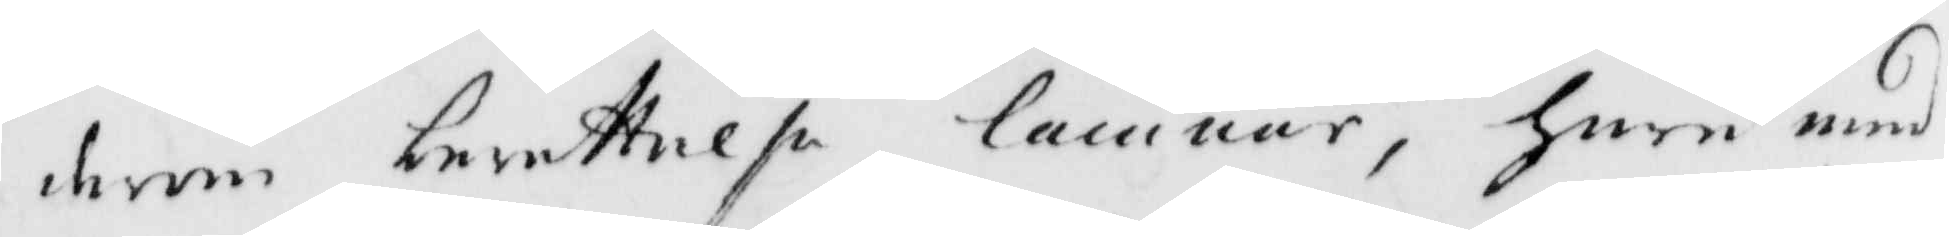derom berättelse lämnar, huru med
